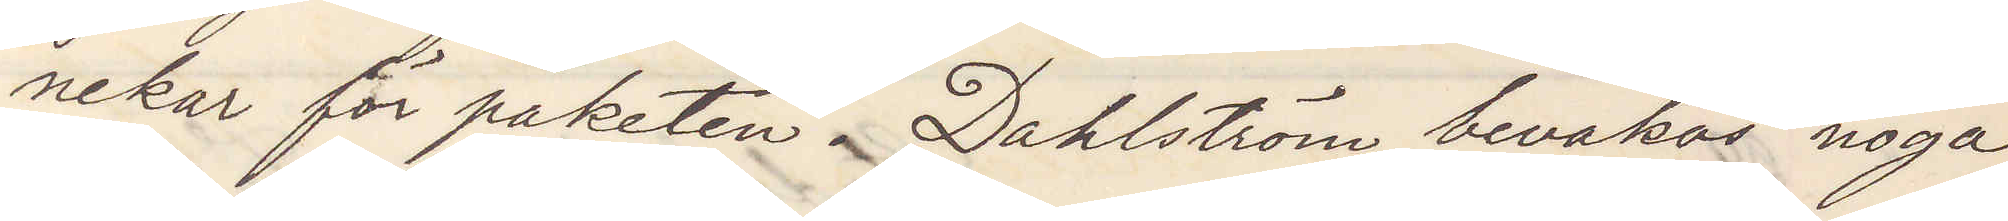nekar för paketen Dahlström bevakas noga
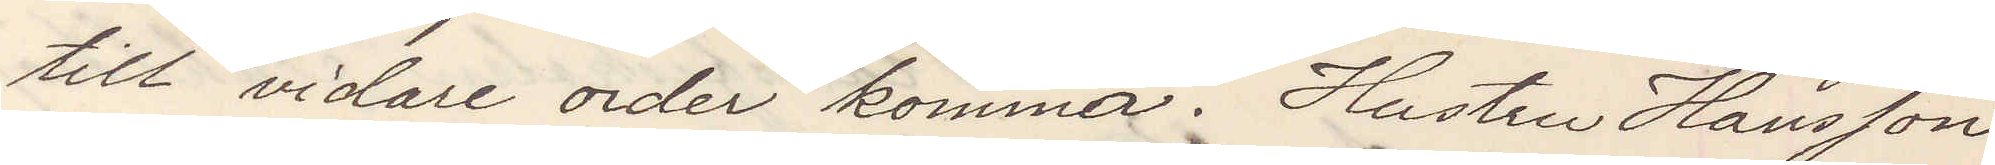till vidare order komma. Hustru Hansson
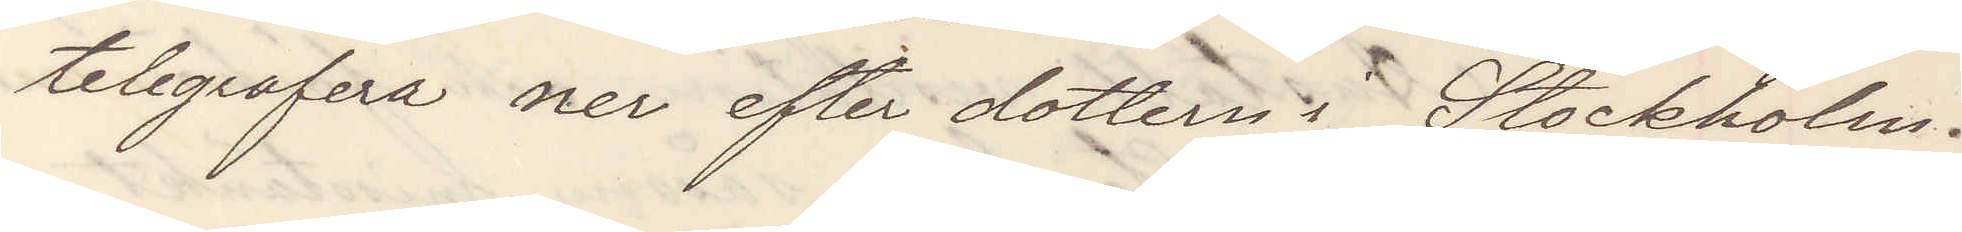telegrafera ner efter dottern i Stockholm.
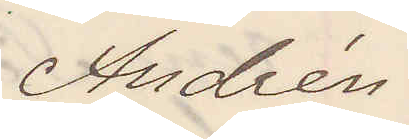Andrén.
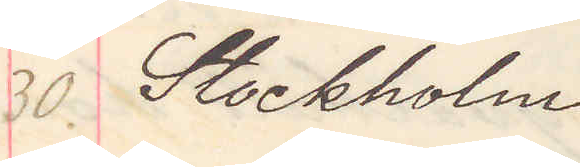30. Stockholm.
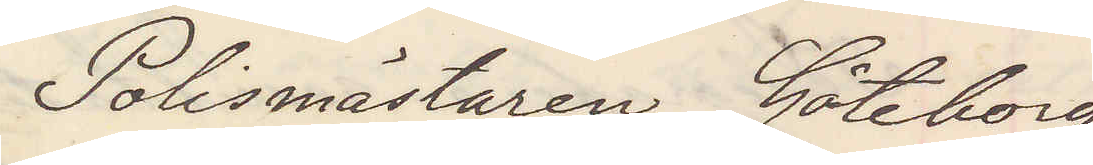Polismästaren Göteborg
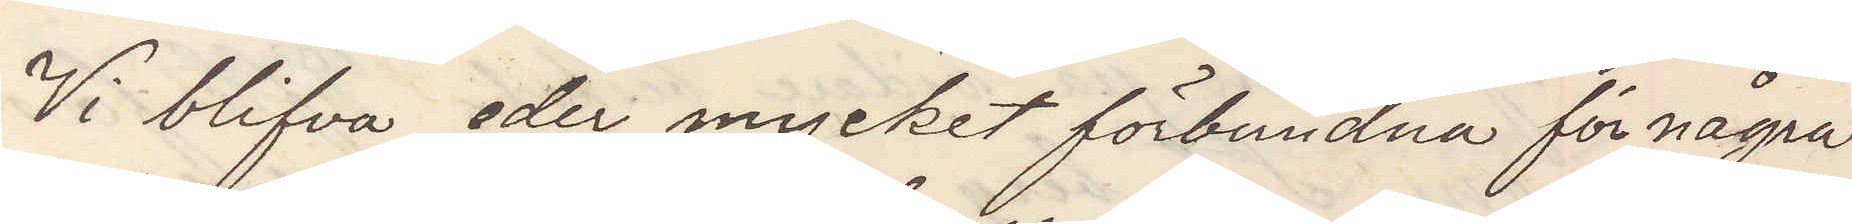Vi blifva eder mycket förbundna för några
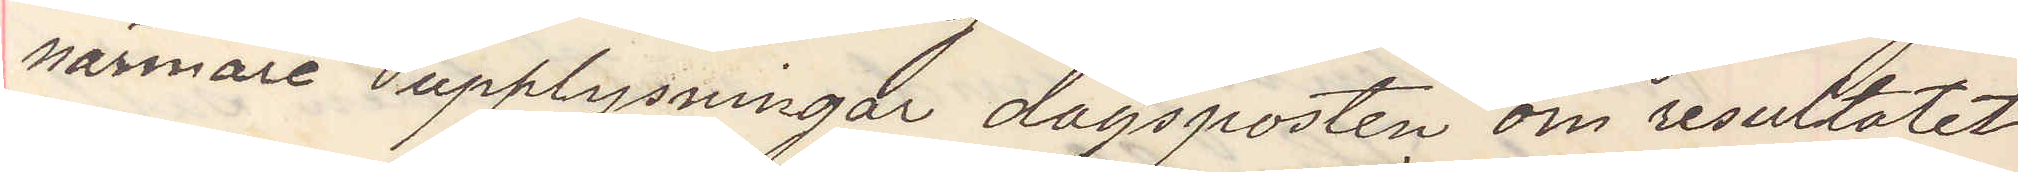närmare upplysningar dagsposten om resultatet
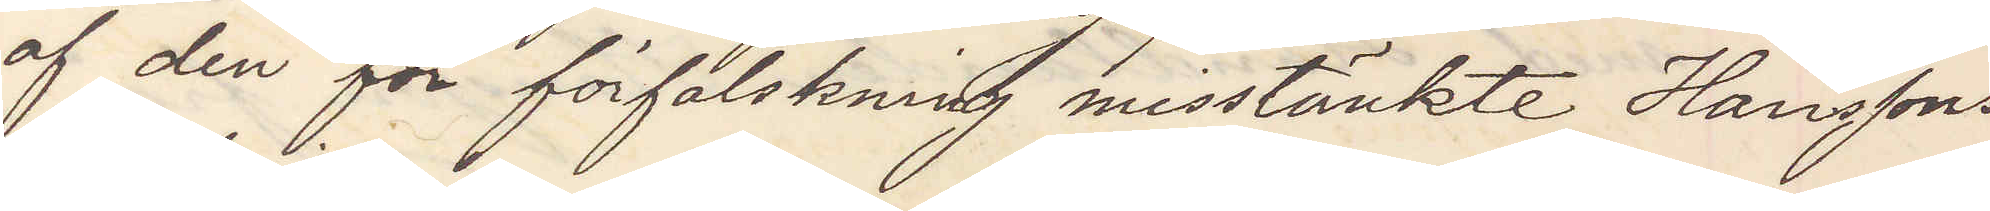af den för förfalskning misstänkte Hanssons
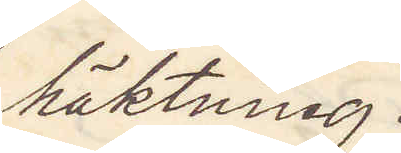häktning.
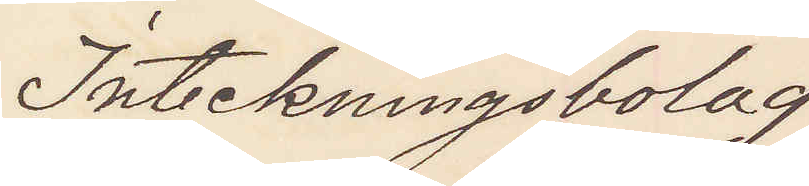Inteckningsbolag
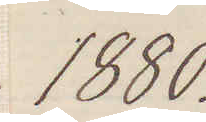1880.
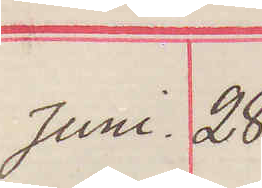Juni. 28
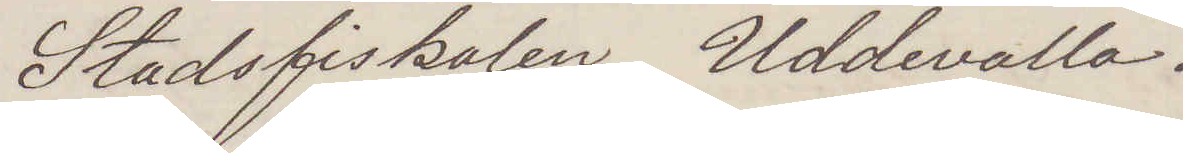Stadsfiskalen Uddevalla.
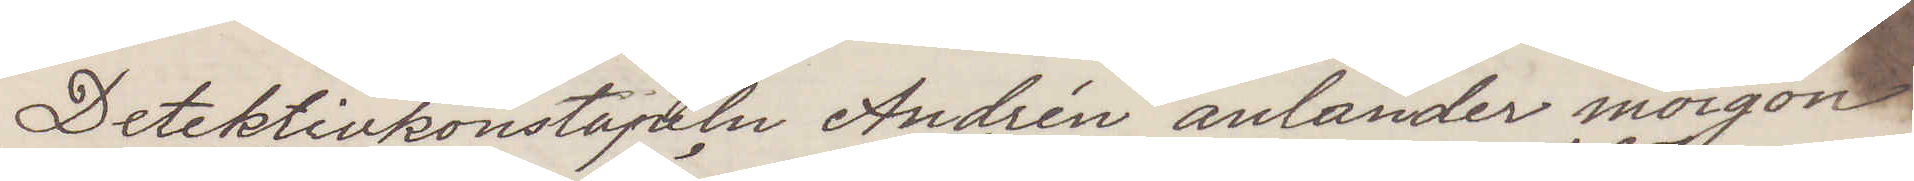Detektivkonstapeln Andrén anländer morgon
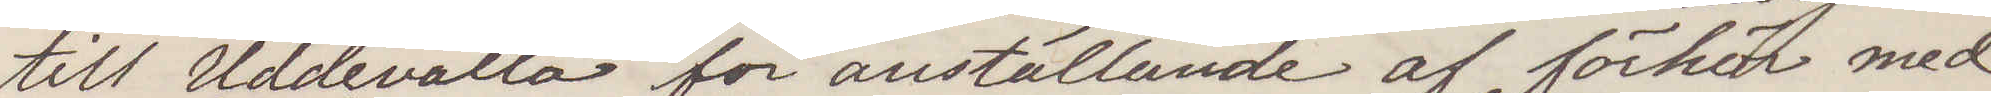till Uddevalla för anställande af förhör med
